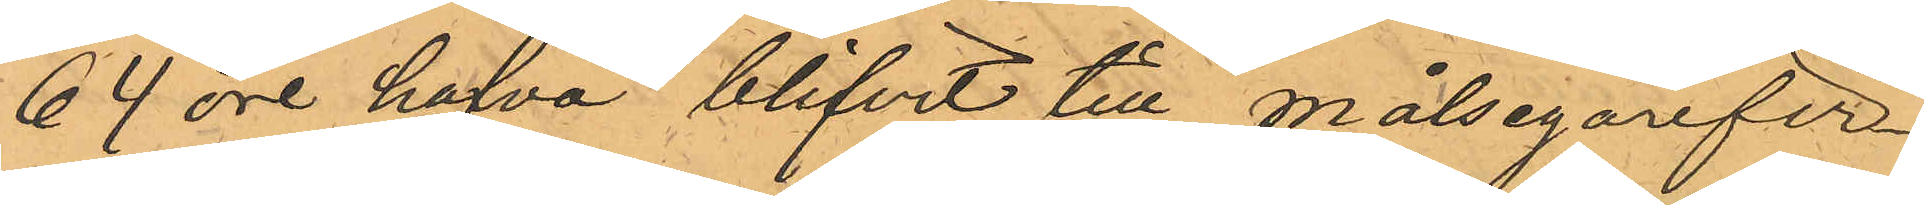64 öre hafva blifvit till målsegarefir¬
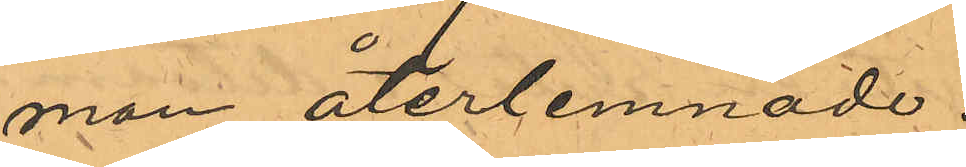man återlemnade.
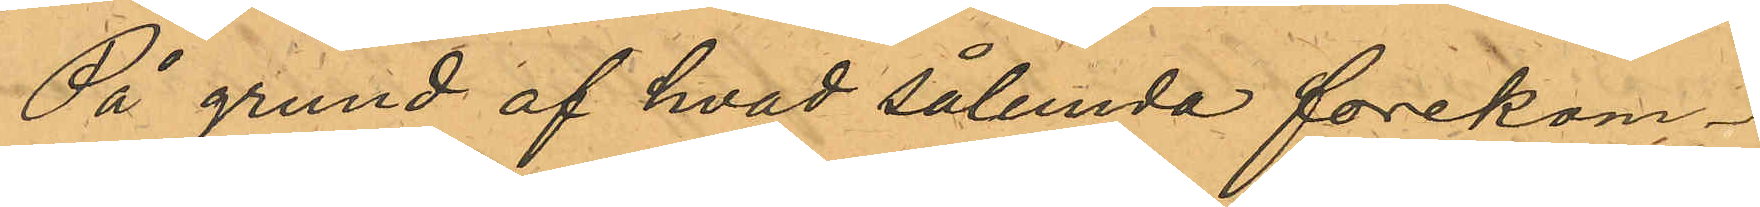På grund af hvad sålunda forekom¬
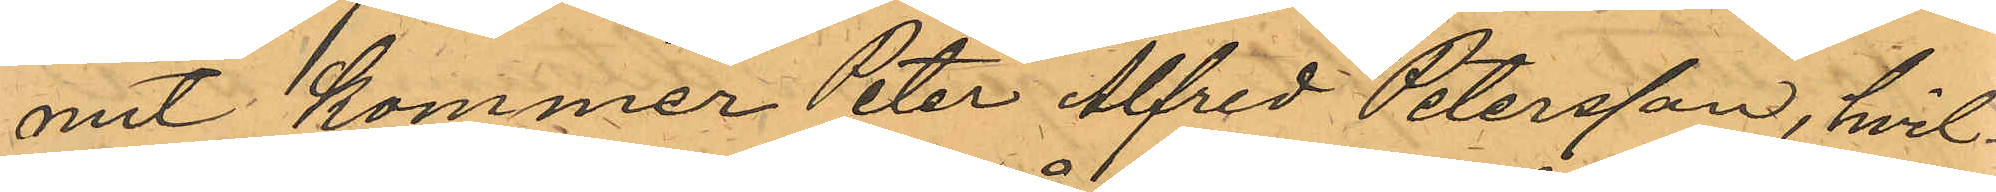mit kommer Peter Alfred Petersson, hvil¬
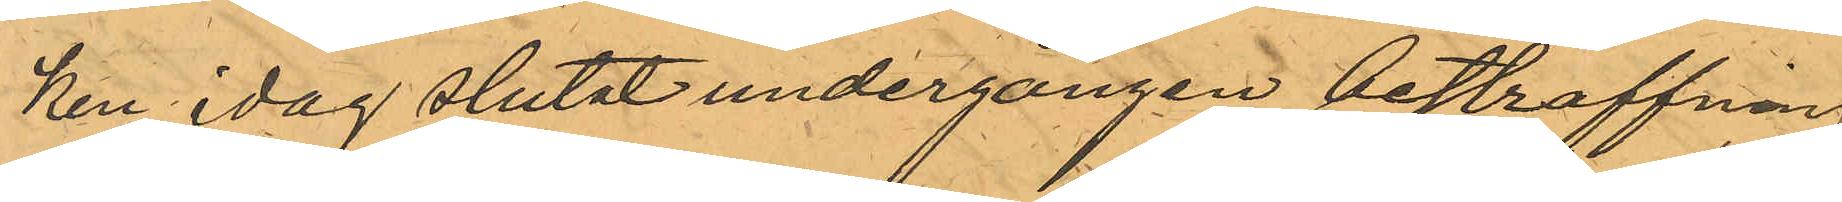ken idag slutat undergången bestraffning
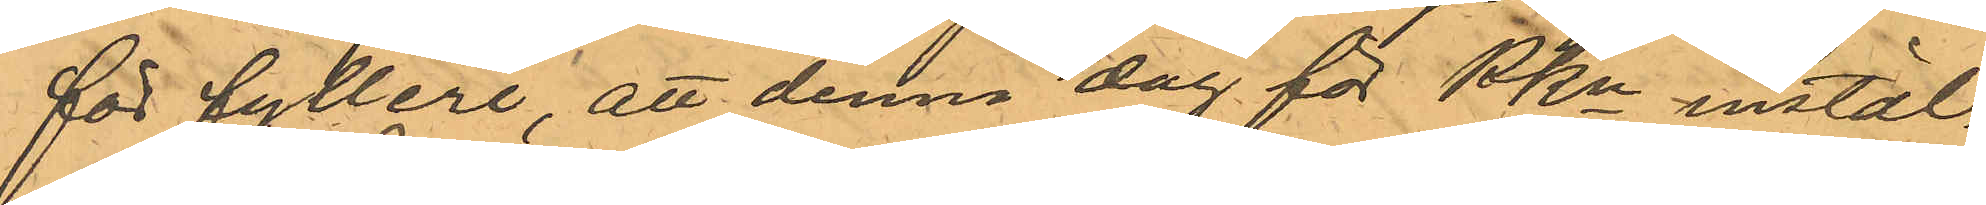för fylleri att denna dag för PKn instäl¬
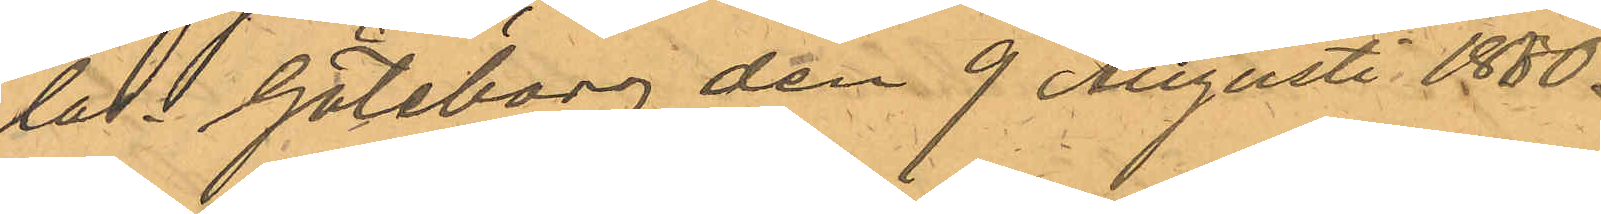lad. Göteborg den 9 Augusti 1880.
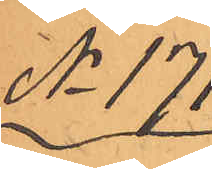No 171
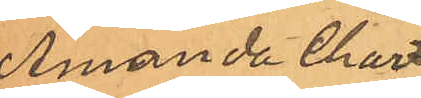Amanda Char¬
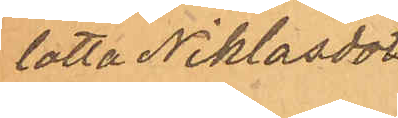lotta Niklasdot¬
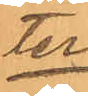ter
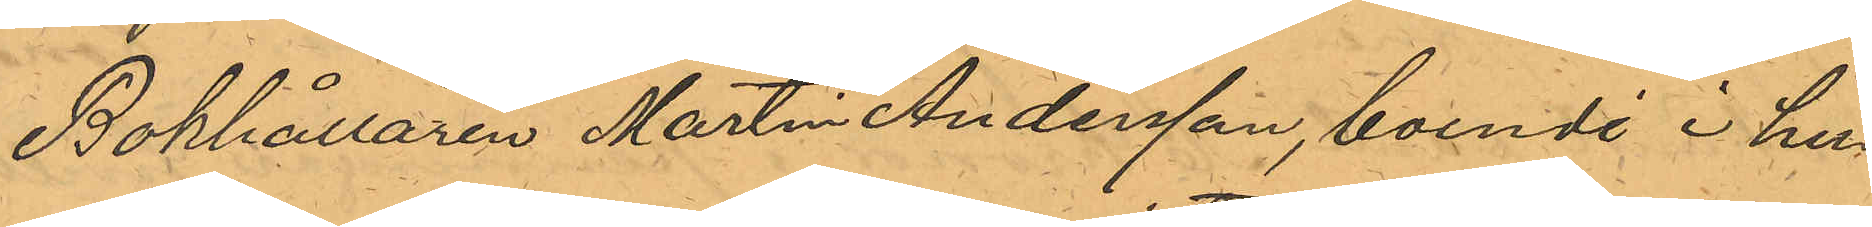Bokhållaren Martin Andersson, boende i hu¬
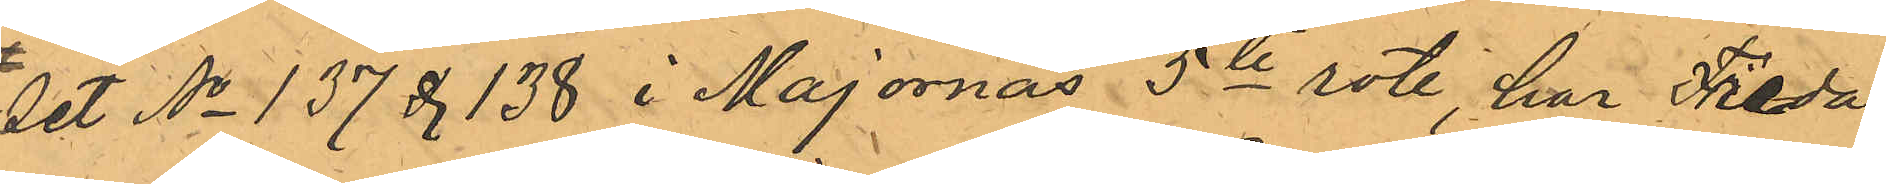set No 137 & 138 i Majornas 5te rote, har Freda¬
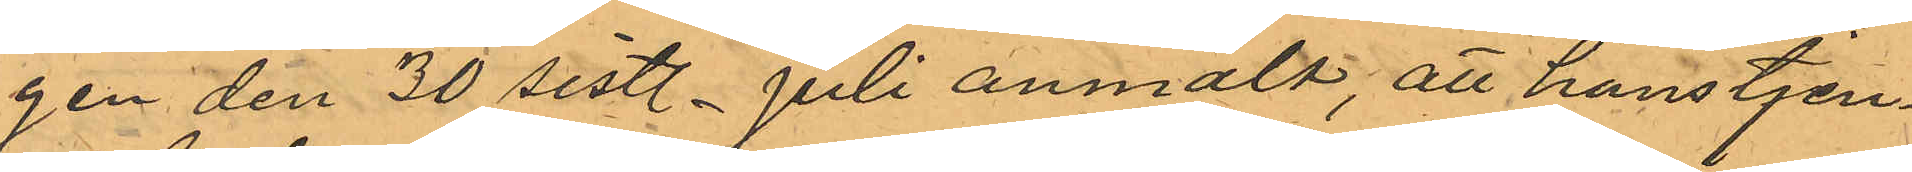gen den 30 sistl. Juli anmält att hans tjen¬
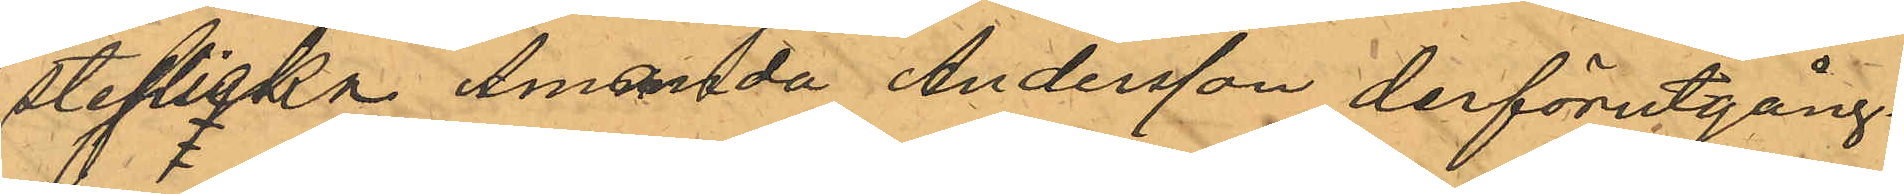steflicka Amanda Andersson derförutgång¬
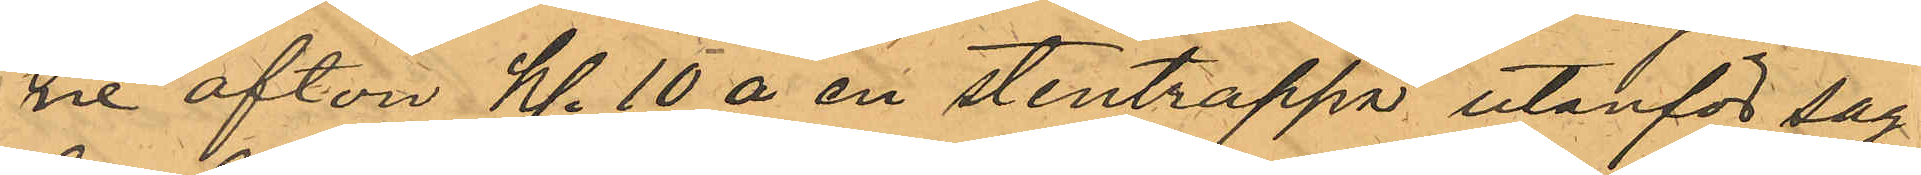ne afton kl. 10 å en stentrappa utanför sag¬
